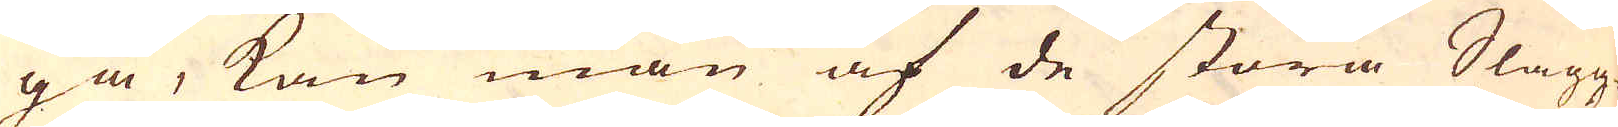ga, kan man af de stora Slagg
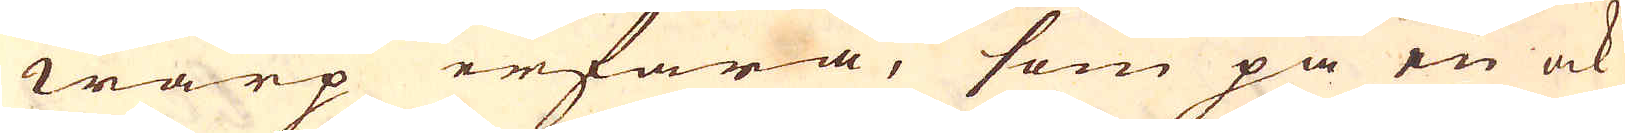warp erfara, som på en ock
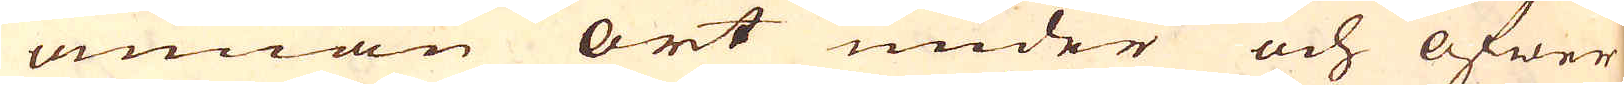annan ort under och öfwer
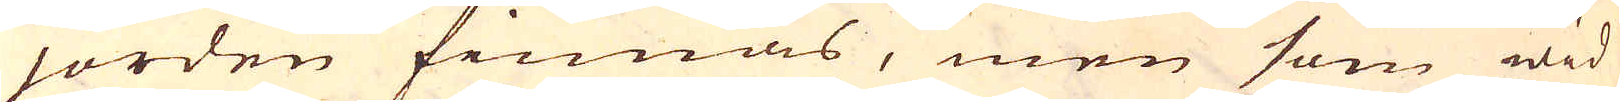jorden finnas, men som wid
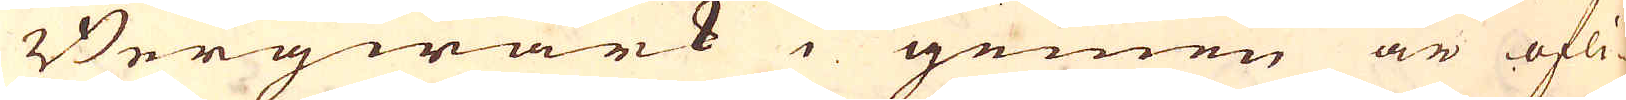Bergwärk i gemen är öfli-
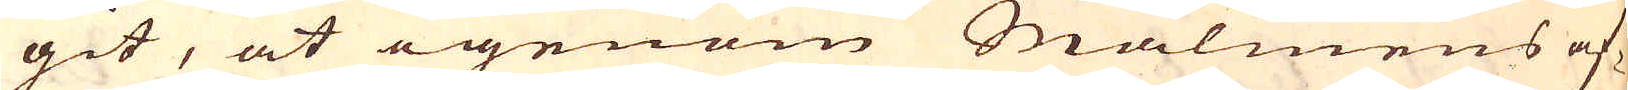git, at igenom Malmens af-
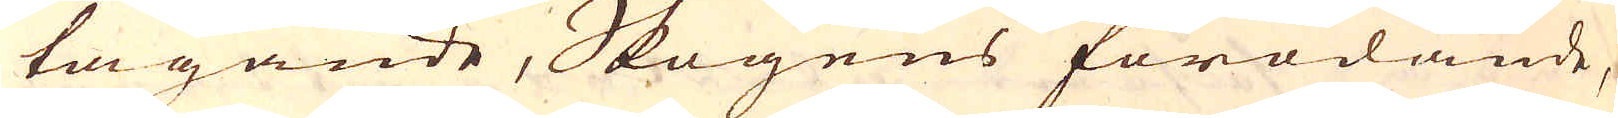tagande, Skogens förödande,
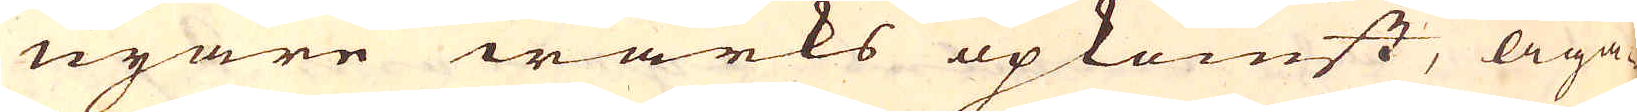nyare wärks opkomst, äga-
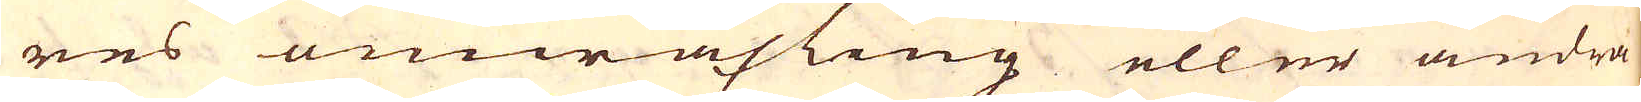res omwäxling eller andra
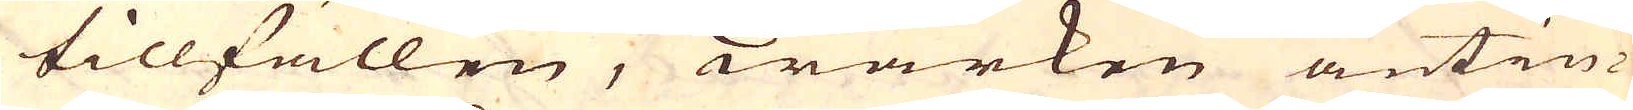tillfällen, wärken antin-
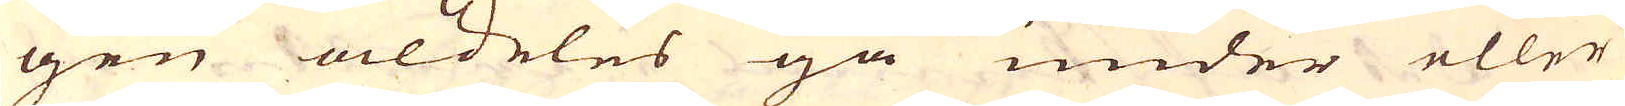gen aldeles gå under eller
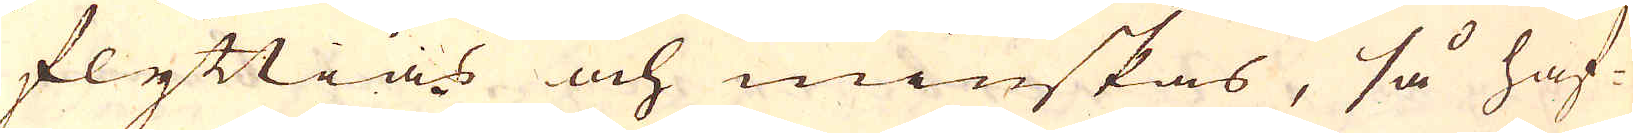flyttias och minskas, så haf-
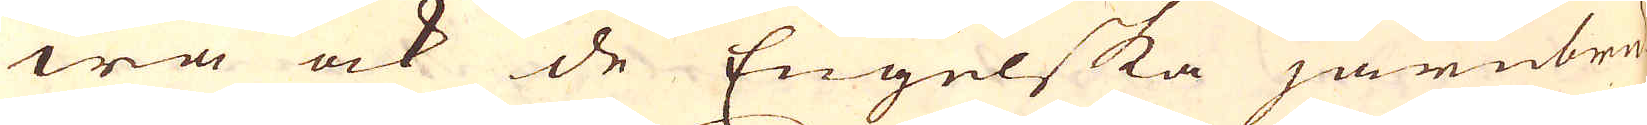wa ock de Engelska järnbru-
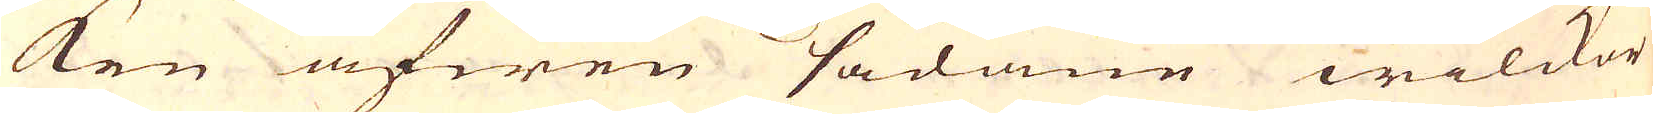ken äfwen sådane wilckor
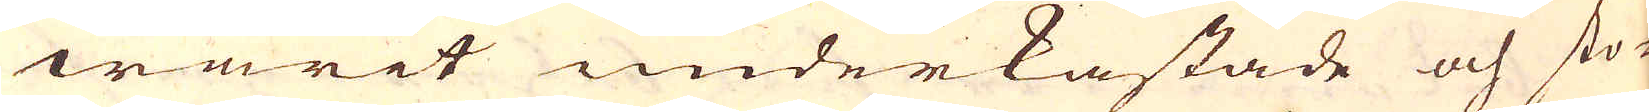warit underkastade och sto-
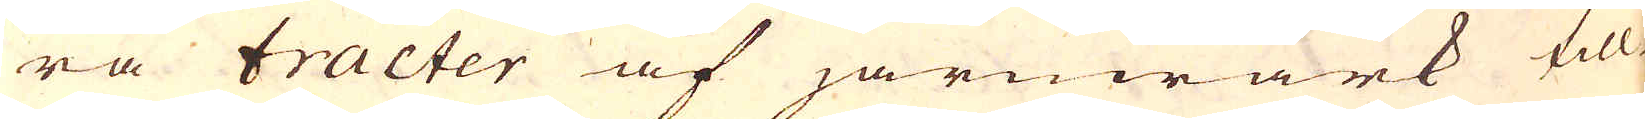ra tracter af järnwärk till-
